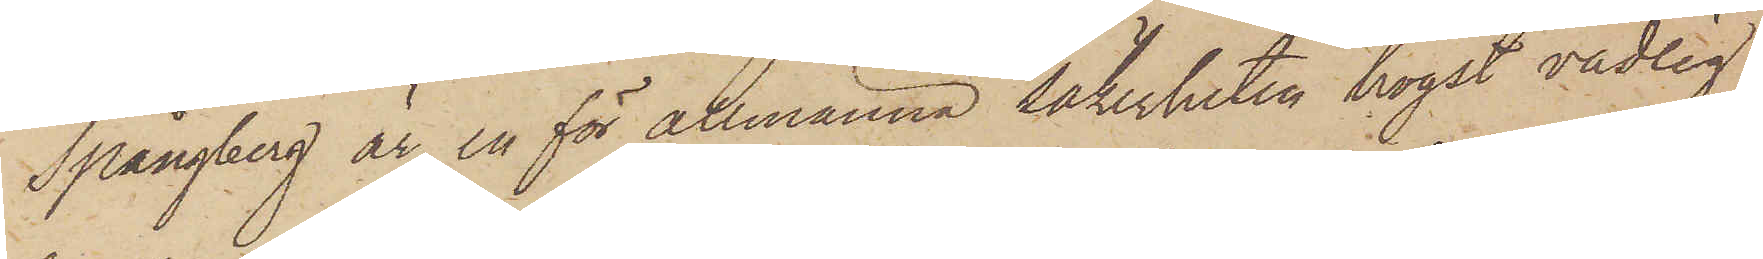Spångberg är en för allmänna säkerheten högst vådlig
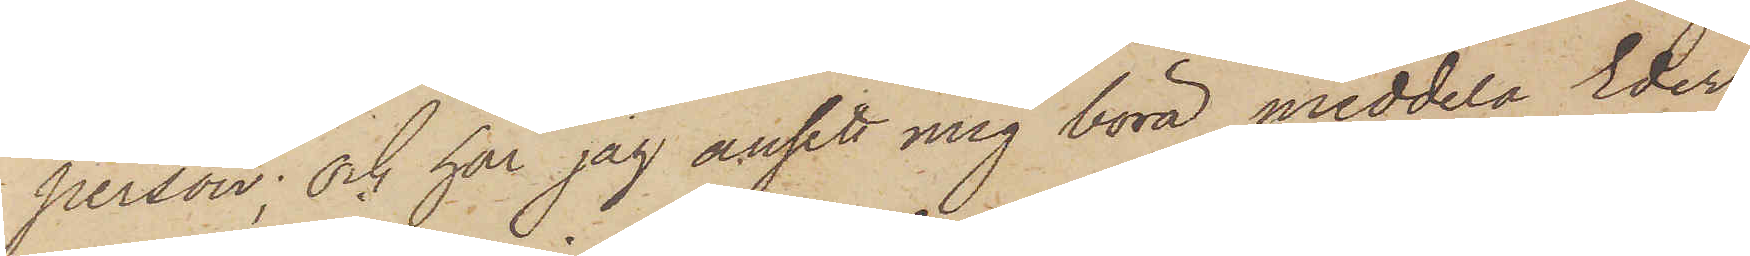person; och har jag ansett mig böra meddela Eder
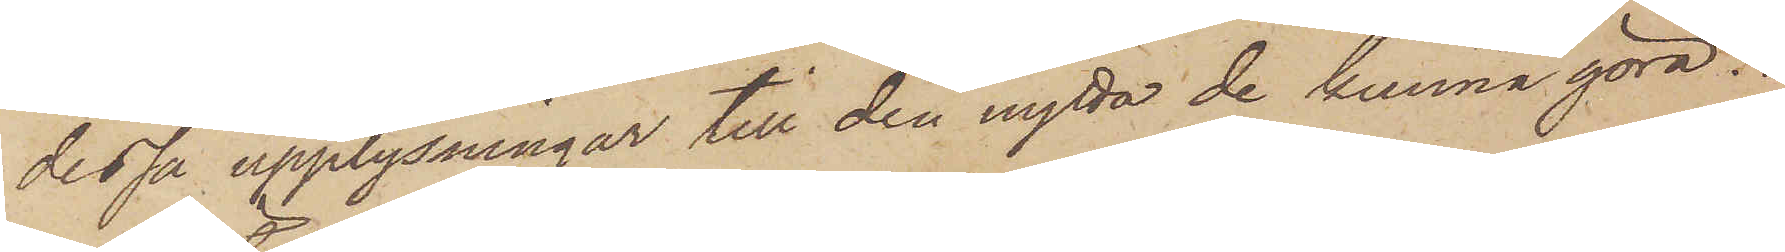dessa upplysningar till den nytta de kunna göra.
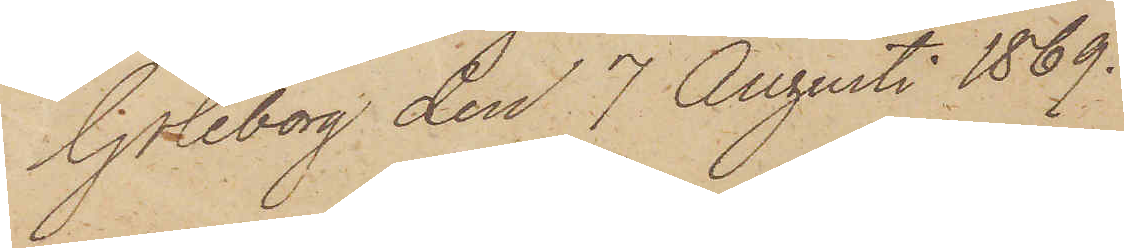Göteborg den 7 Augusti 1869.
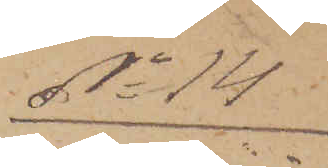No 14
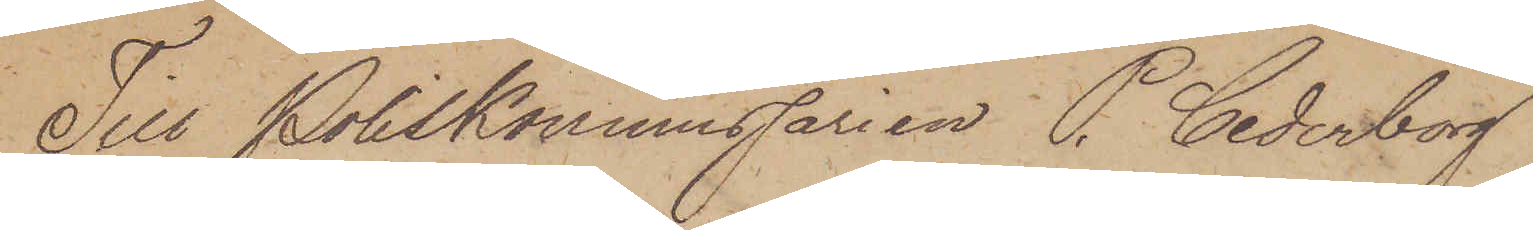Till Poliskommissarien P. Cederborg
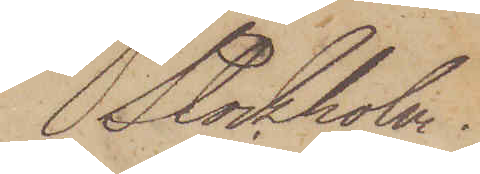Stockholm.
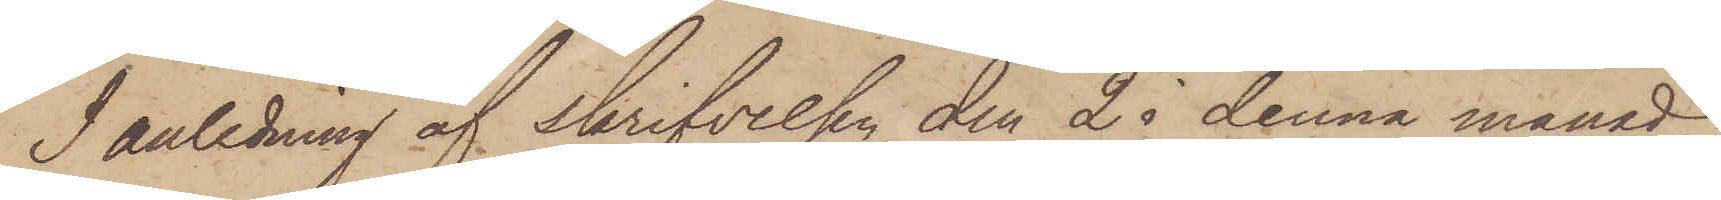I anledning af skrifvelsen den 25 denna månad
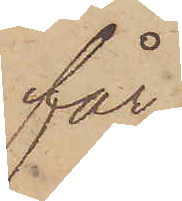får
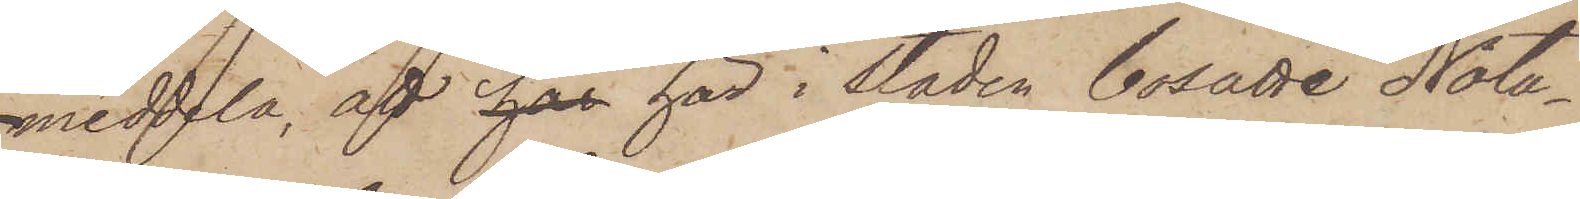meddla, att här här i staden bosatte Nota¬
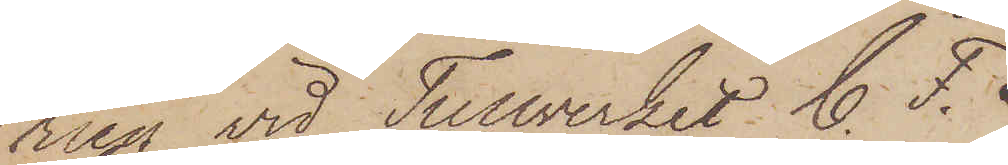rien vid Tullverket C. F.
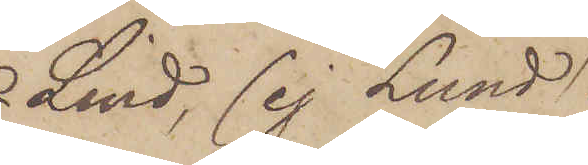Lind, (ej Lund)
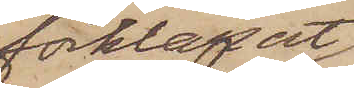förklarat
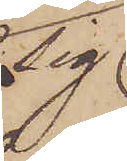sig
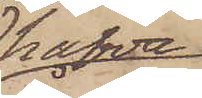hafva
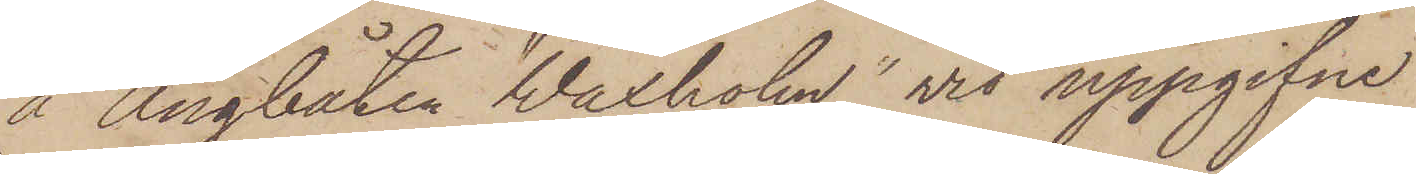å Ångbåten "Waxholm" vid uppgifne
